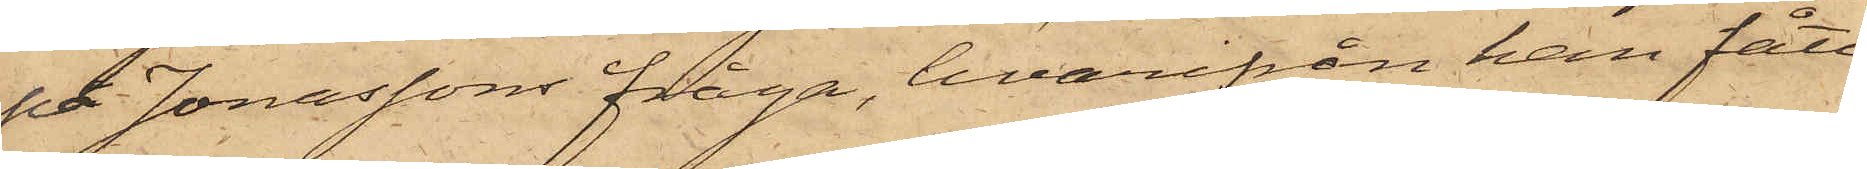på Jonassons fråga, hvarifrån han fått
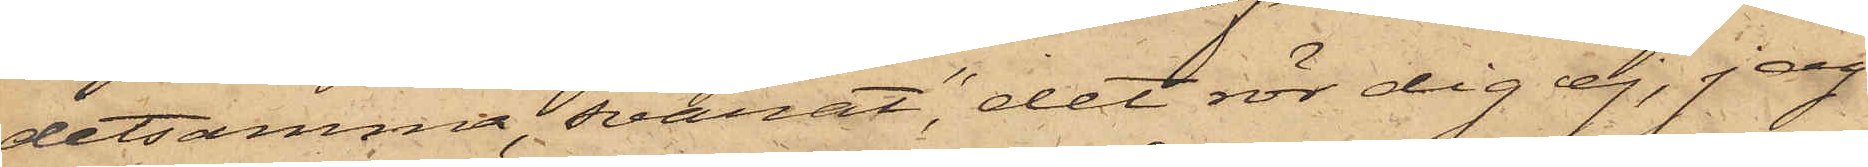detsamma, svarat, "det rör dig ej, jag
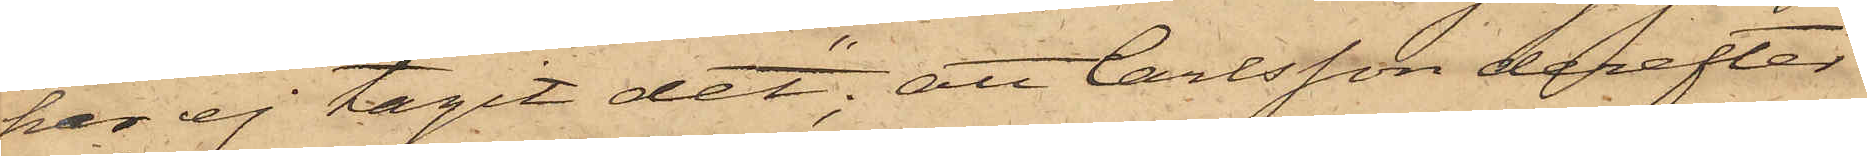har ej tagit det"; att Carlsson derefter
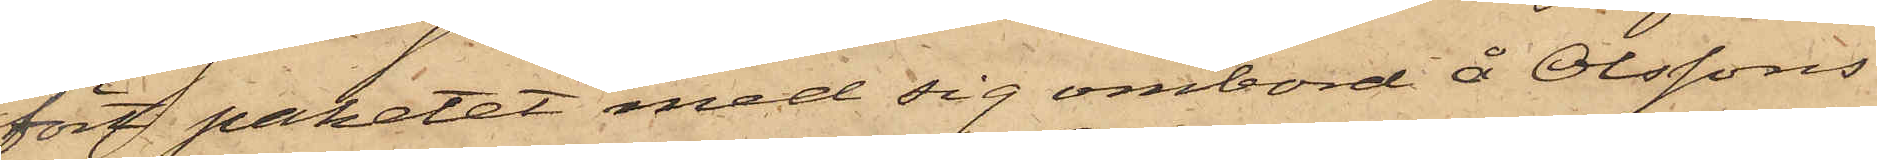fört paketet med sig ombord å Olssons
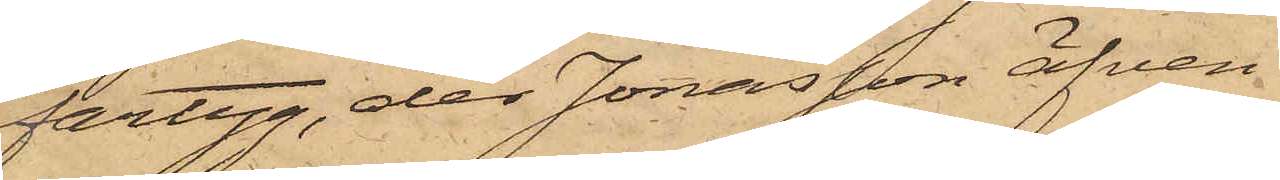fartyg, der Jonasson äfven
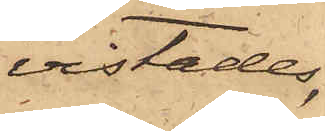vistades,
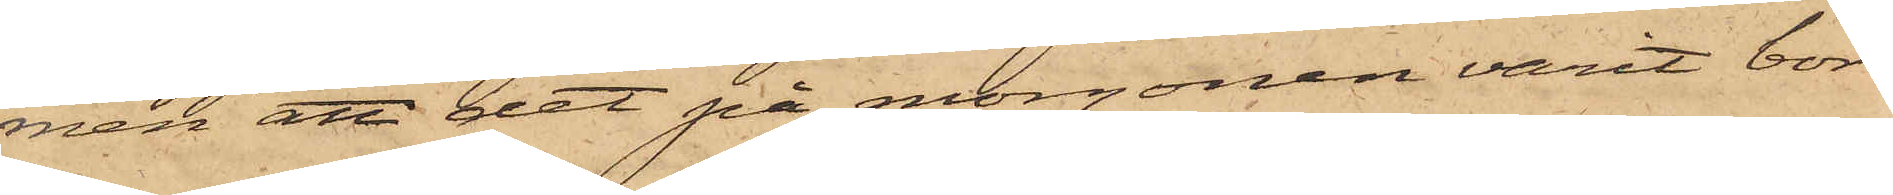men att det på morgonen varit bor¬
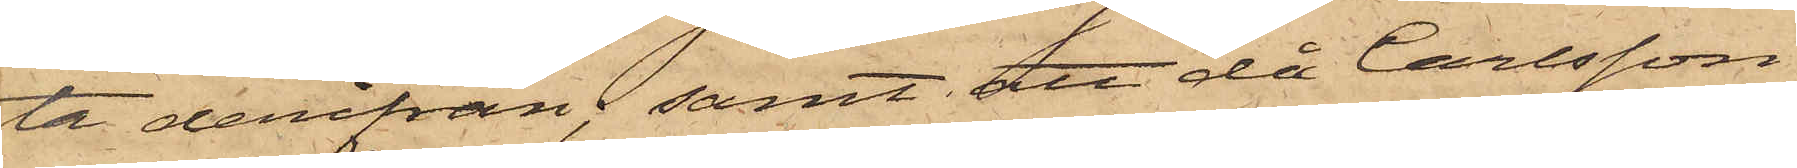ta derifrån, samt att då Carlsson
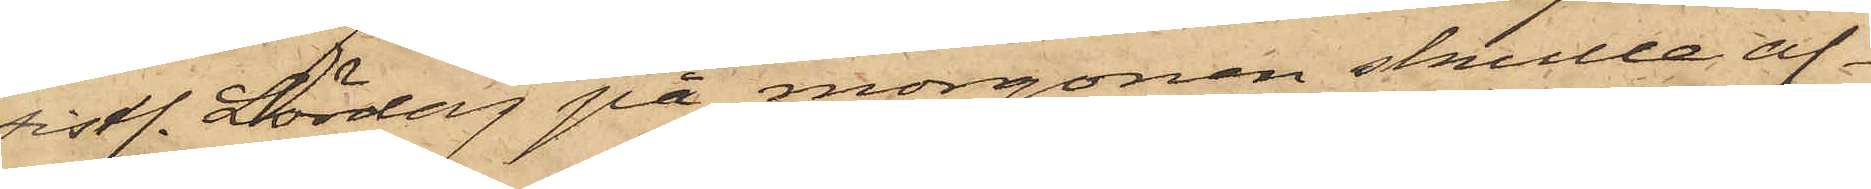sistl. Lördag på morgonen skulle af¬
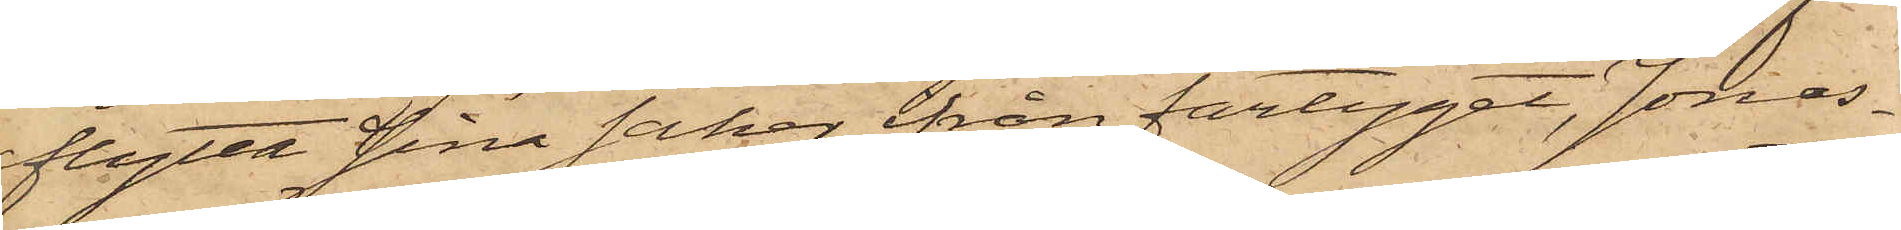flytta sina saker från fartyget, Jonas¬
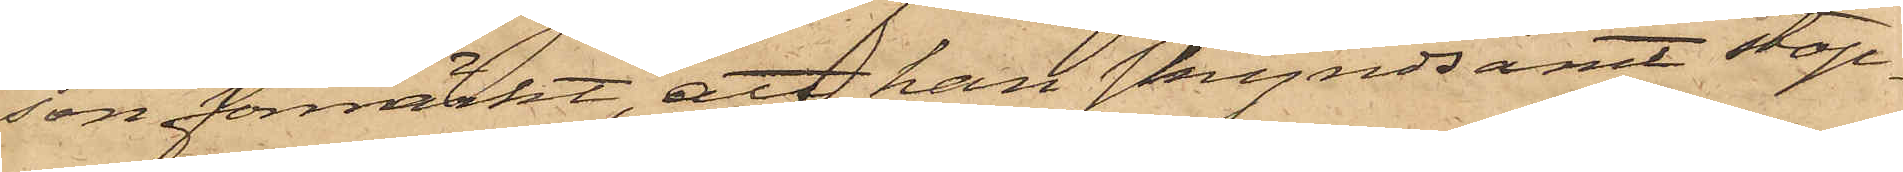son förmärkt, att han skyndsamt stop¬
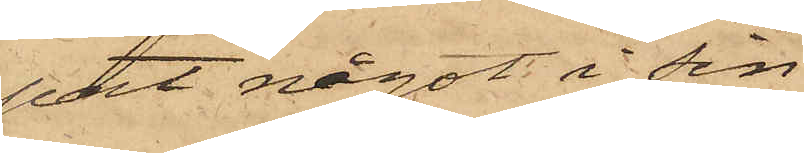pat något i sin
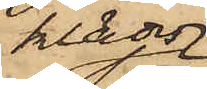klädes¬
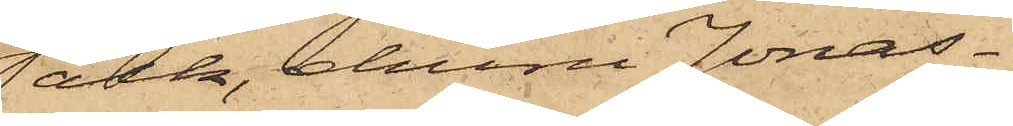säck, ehuru Jonas¬
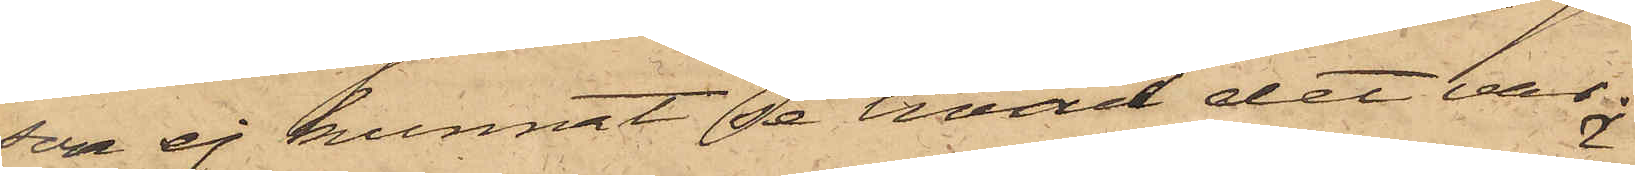son ej kunnat se hvad det var.
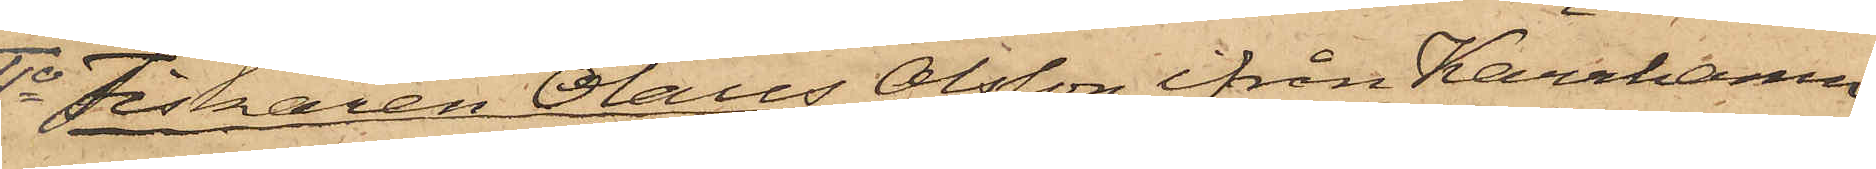4o Fiskaren Olaus Olsson från Kärrhamn
